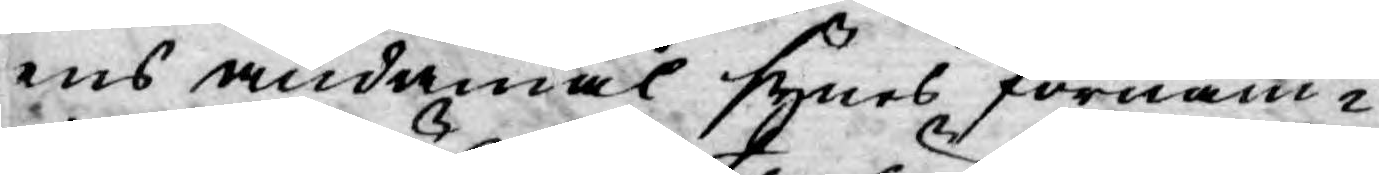ens ändamål synes förnäm¬
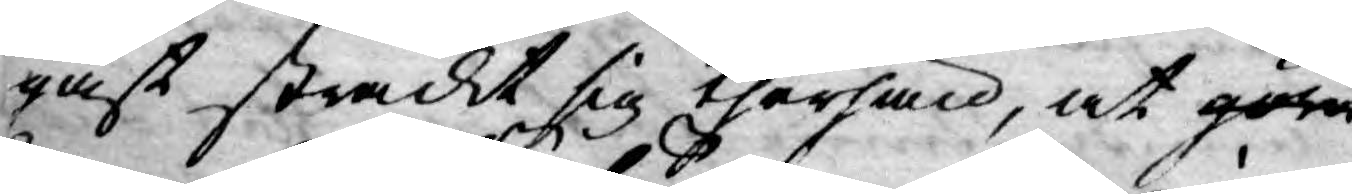ligast sträckt sig therhän, at göra
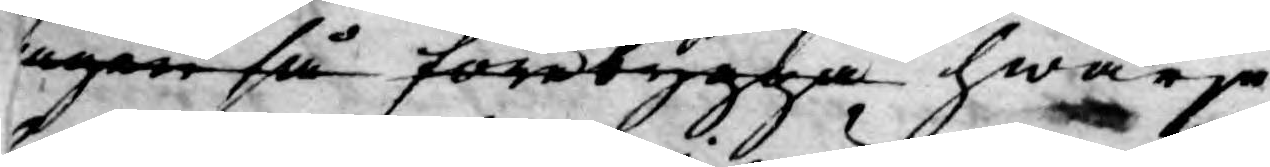ingen få förebygga hwarje¬
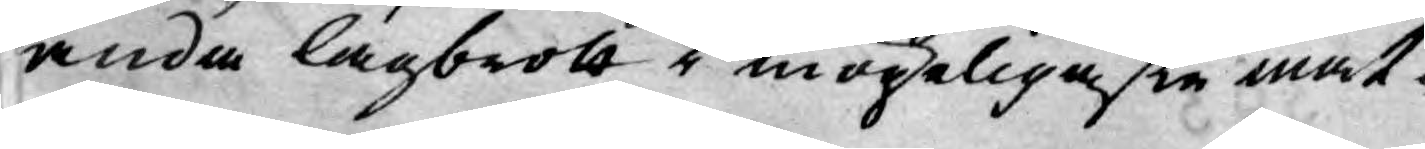handa lagbrott i mögeligaste måt¬
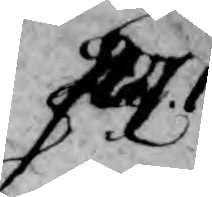P.
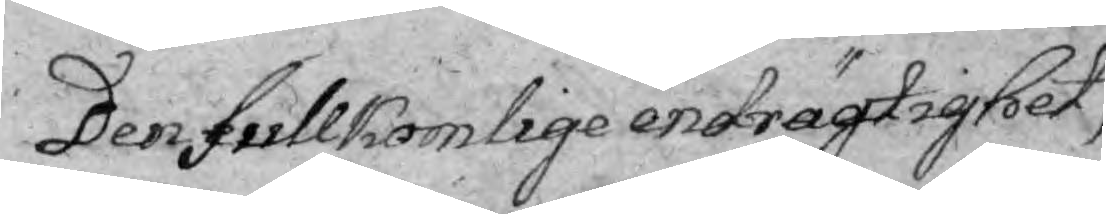Den fullkomlige endrägtighet,
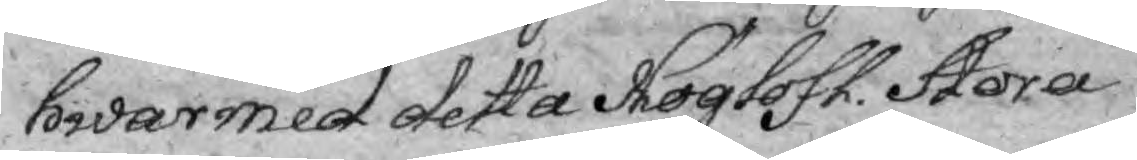hwarmed detta Höglofl. Stora
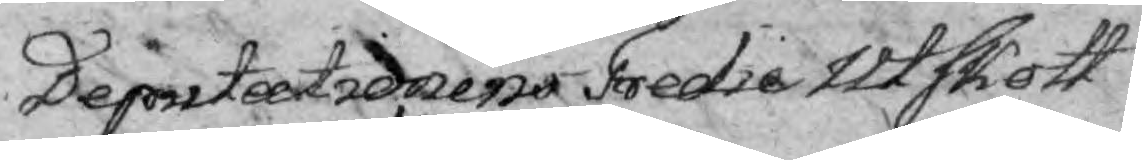Deputationens Tredie Utskott
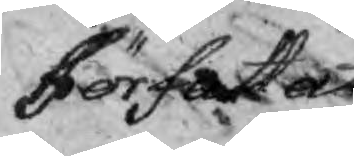Författat
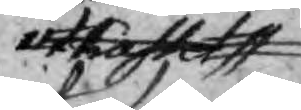utkastet
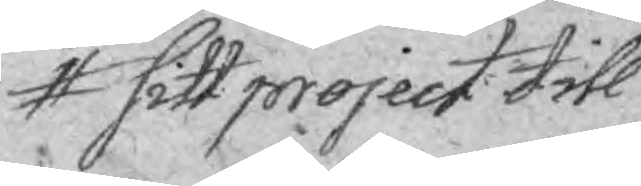sitt project till
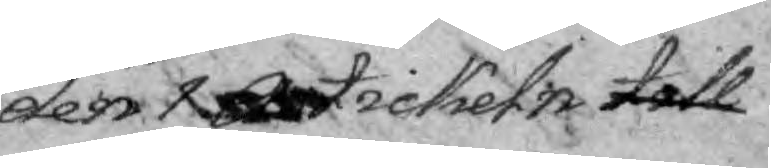den 1. Artickeln till
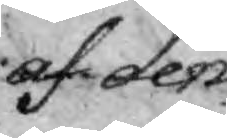af den
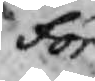för
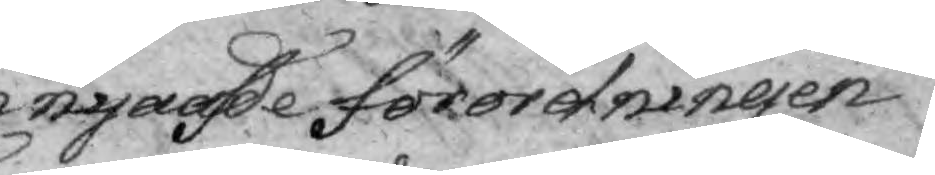nyade förordningen
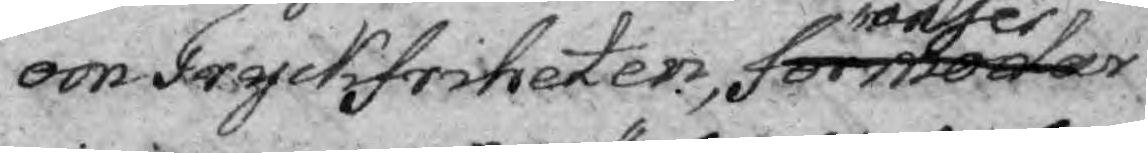om Tryckfriheten, förmodar anser
